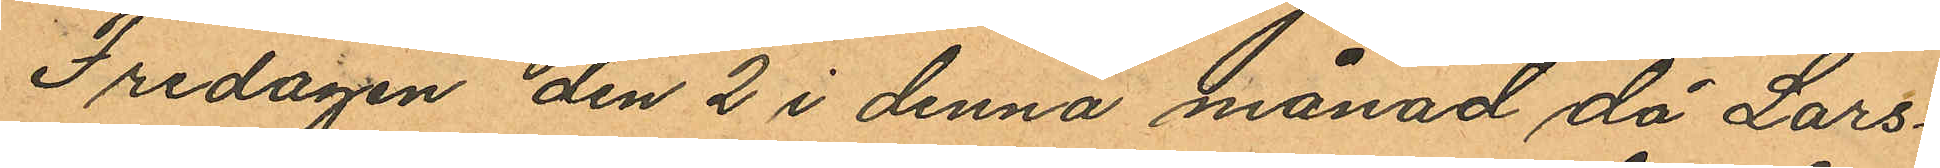Fredagen den 2 i denna månad då Lars¬
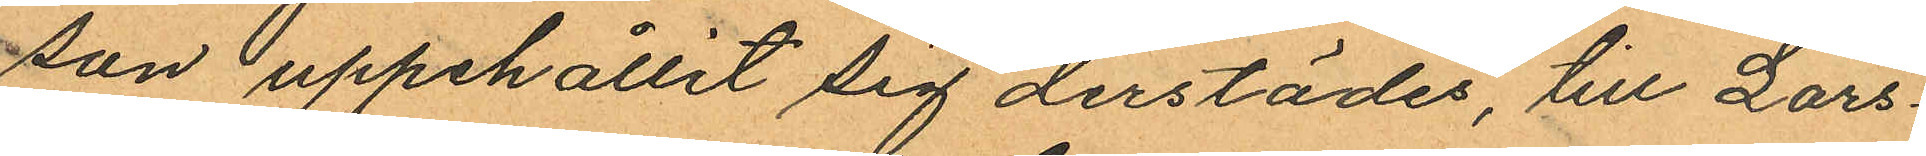son uppehållit sig derstädes, till Lars¬
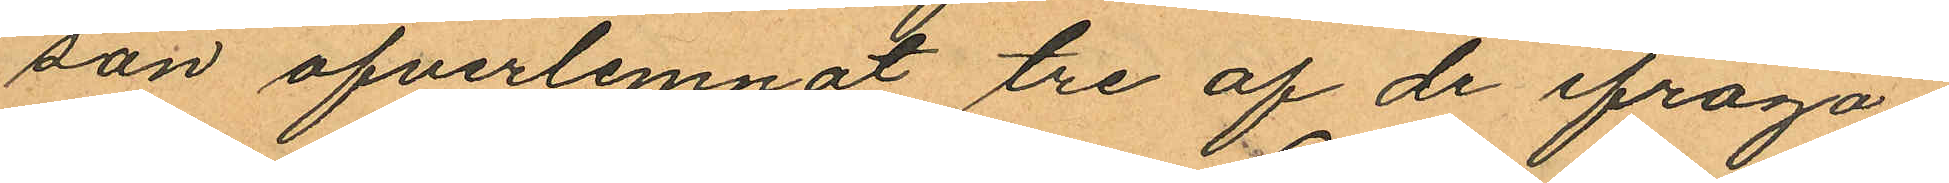son öfverlemnat tre af de ifråga¬
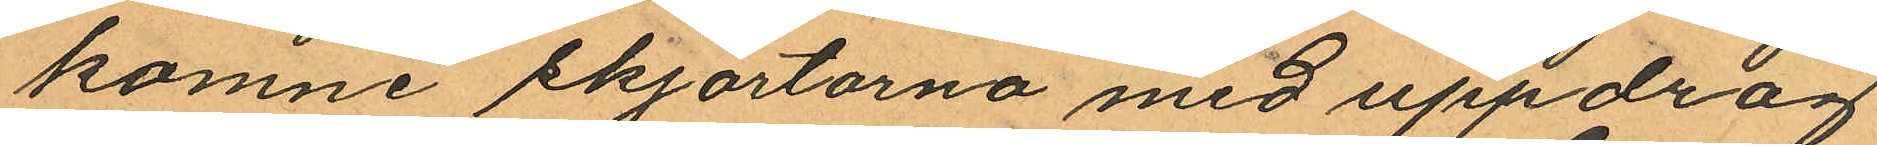komne skjortorna med uppdrag
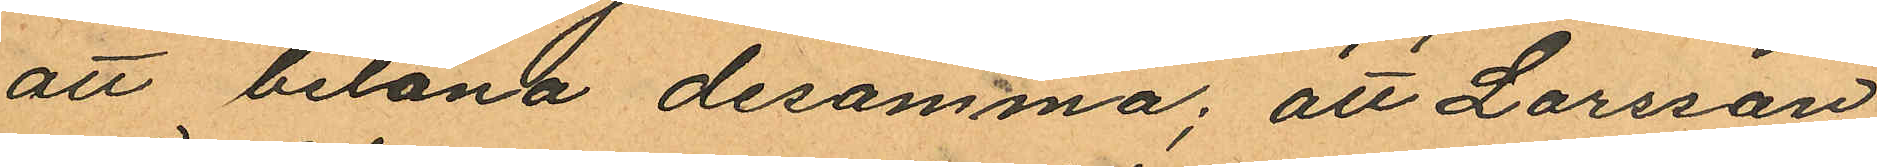att belåna desamma; att Larsson
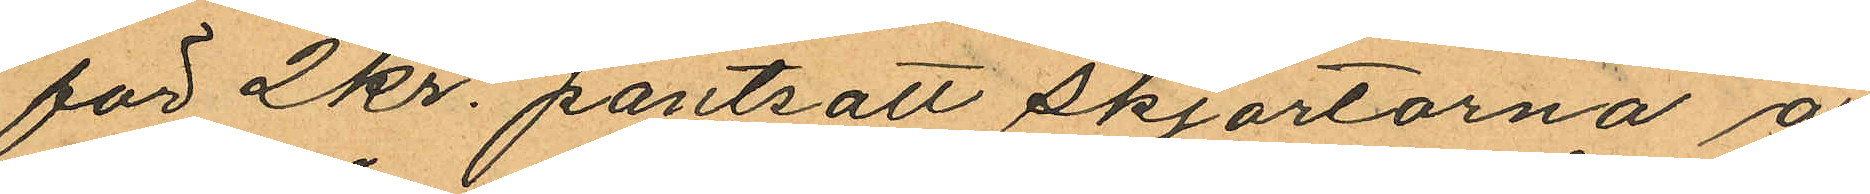för 2 kr. pantsatt skjortorna å
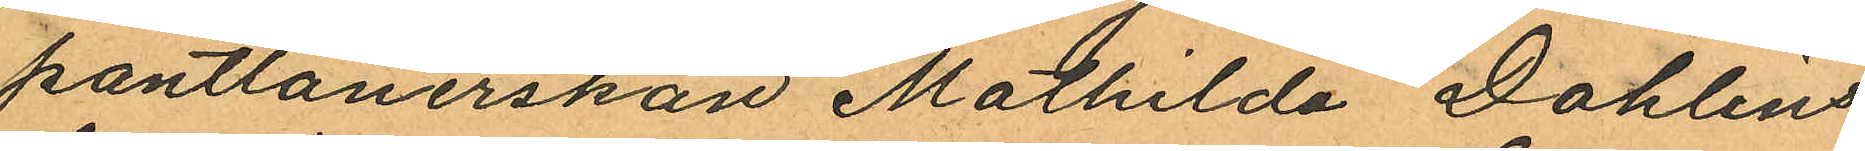pantlånerskan Mathilda Dahlins
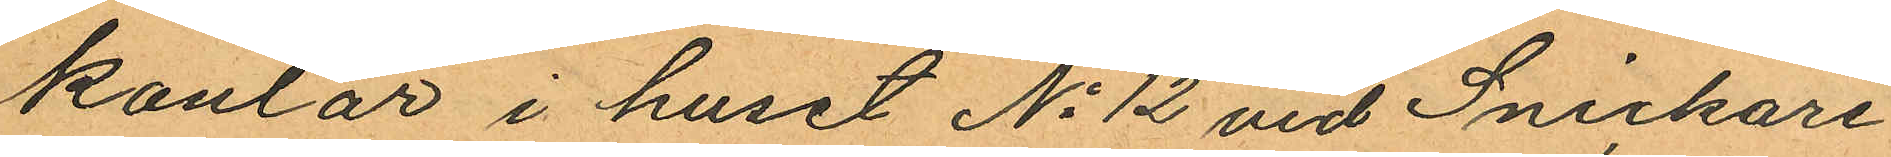kontor i huset No 12 vid Snickare
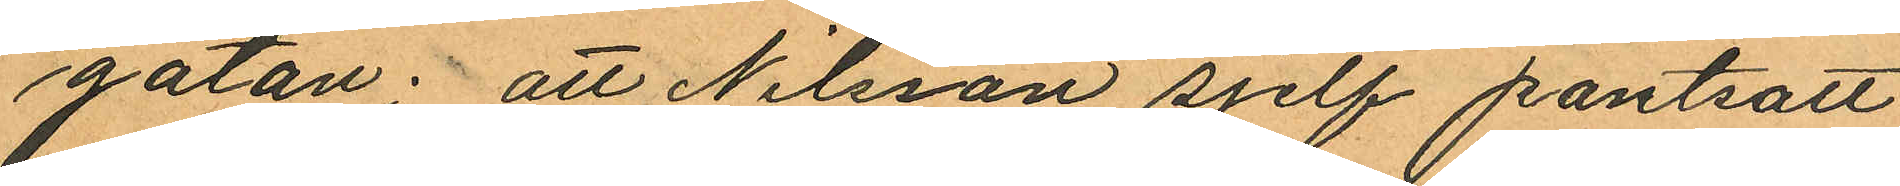gatan; att Nilsson sjelf pantsatt
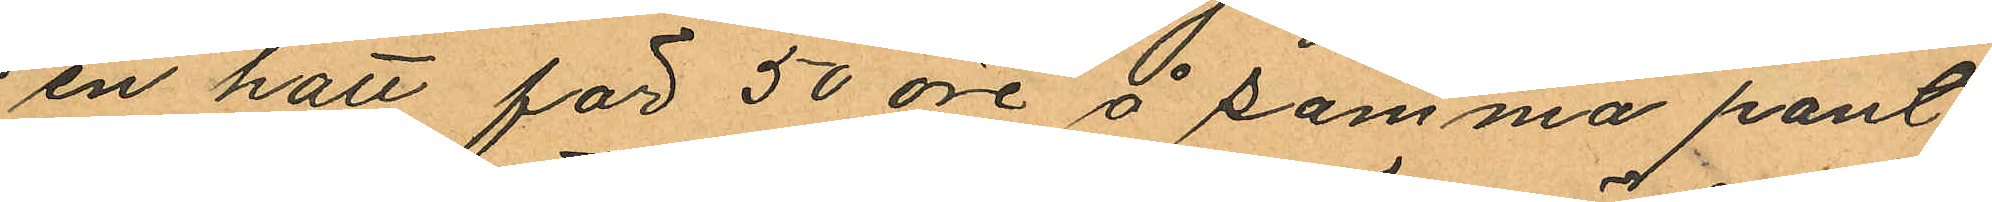en hatt för 50 öre å samma pant¬
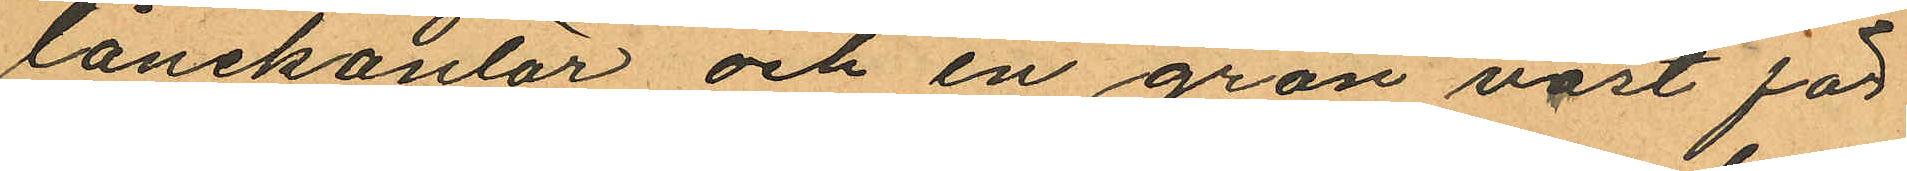lånekontor och en grön väst för
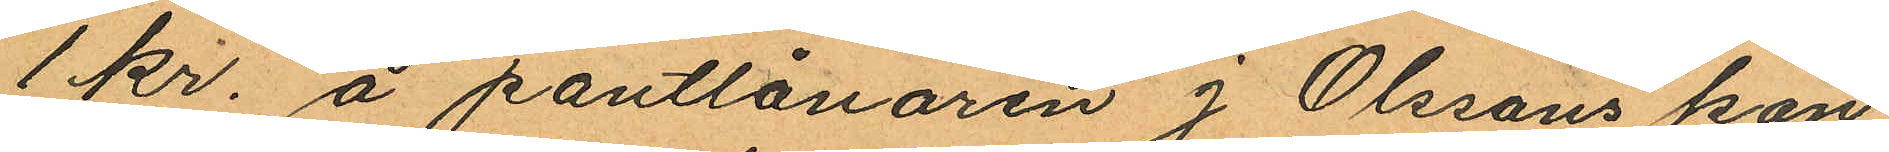1 kr. å pantlånaren J Olssons kon¬
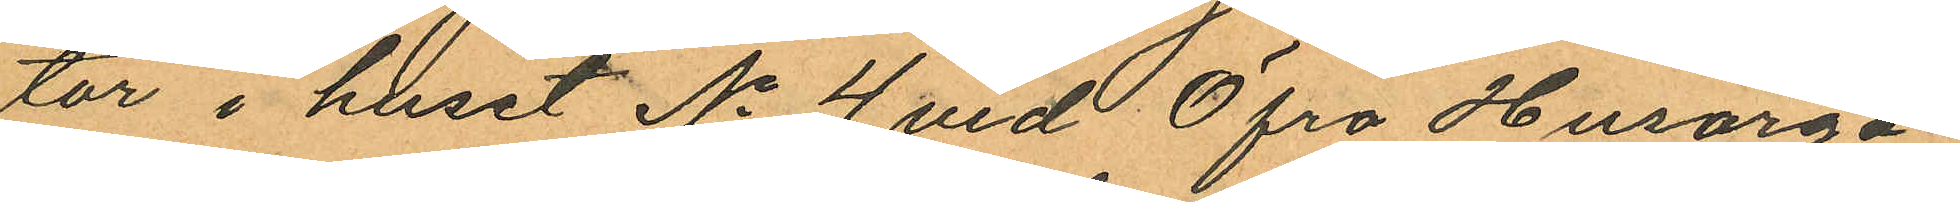tor i huset No 4 vid Öfra Husarga¬
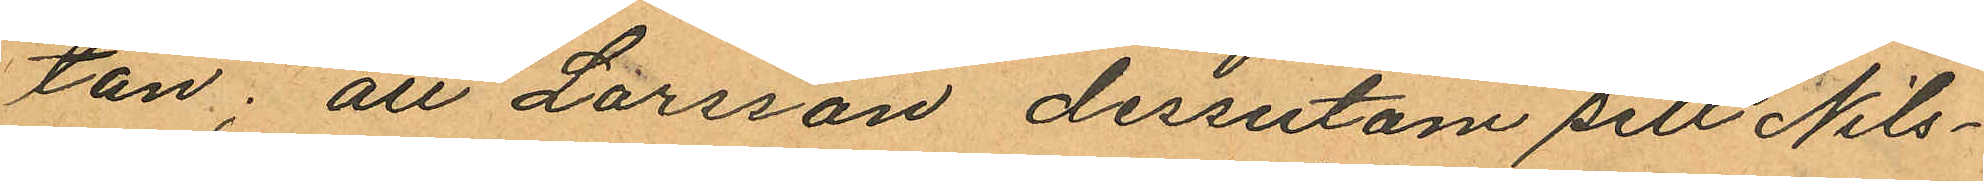tan; att Larsson dessutom sett Nils¬
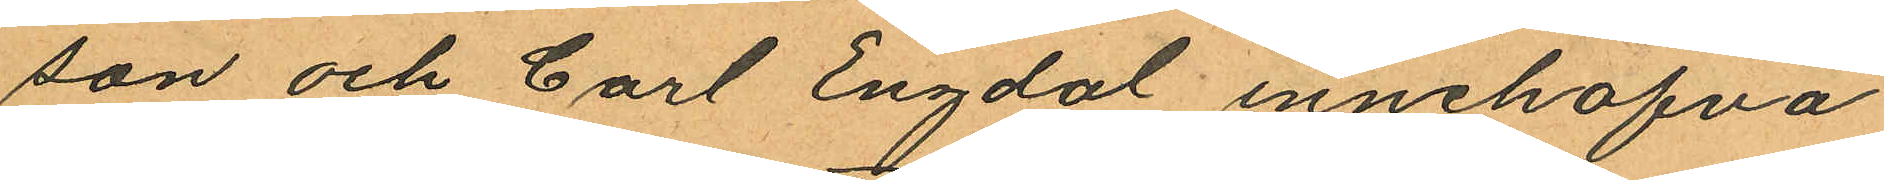son och Carl Engdal innehafva
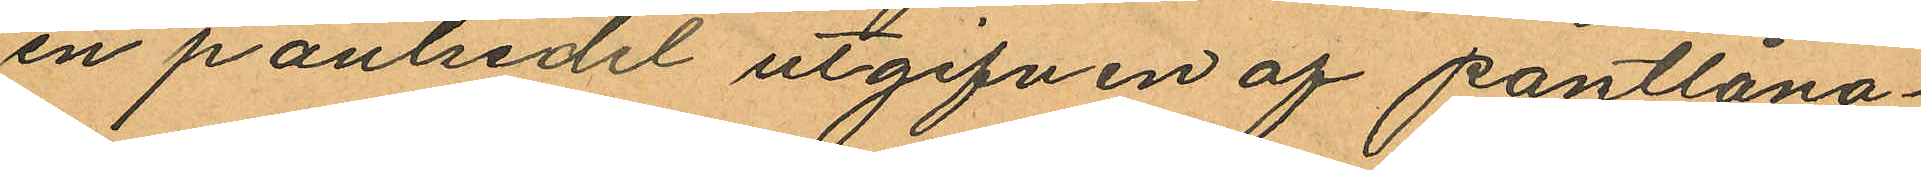en pantsedel utgifven af pantlåna¬
